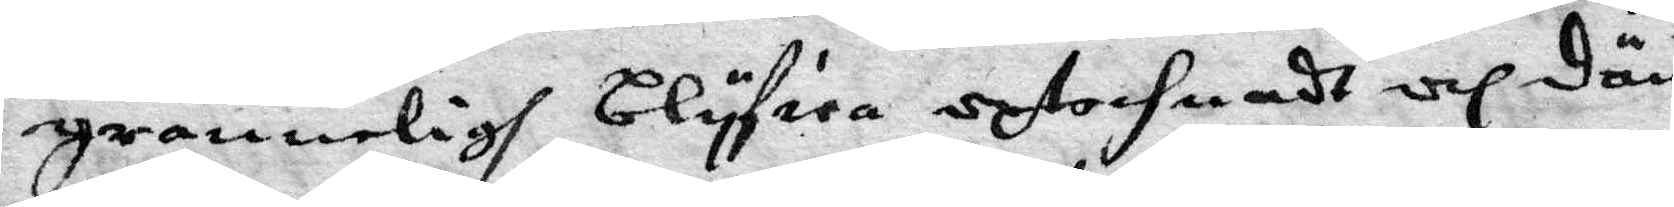granneligh blyfiea uptechnadt och dän
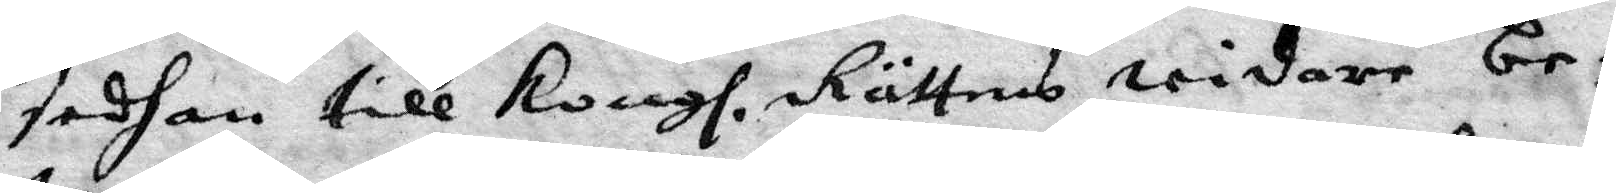sedhan till Kongl. Rättens widare be¬
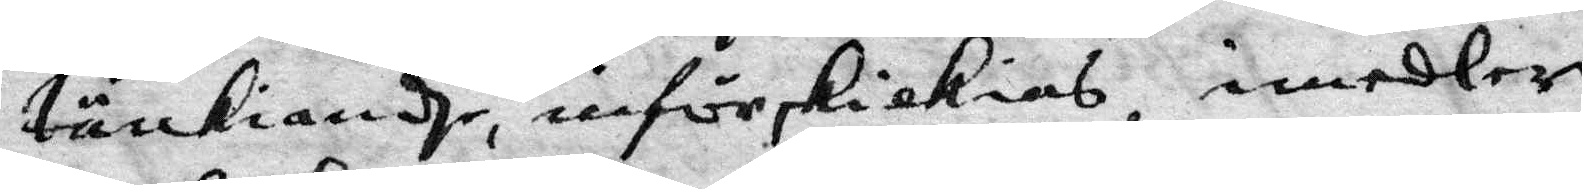tänkiandhe, införskickias, imedler¬
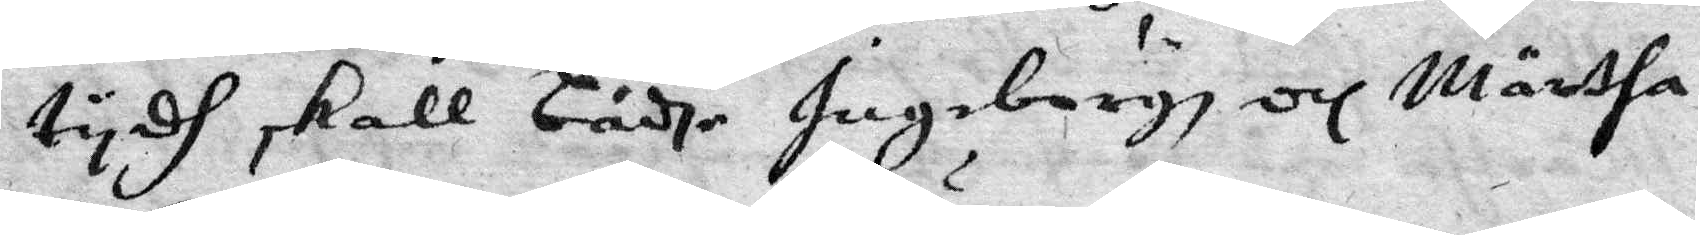tydh skall bådhe Ingeborgs och Märtha
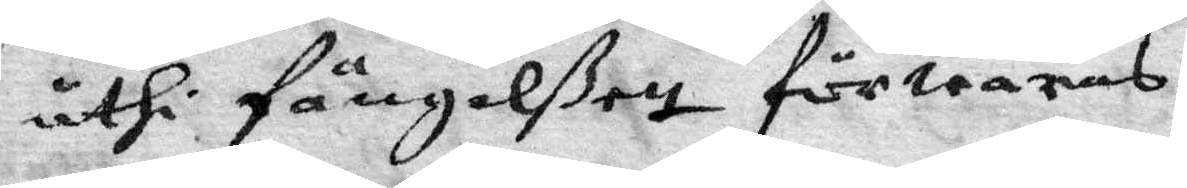uthi fängelßet förwaras.
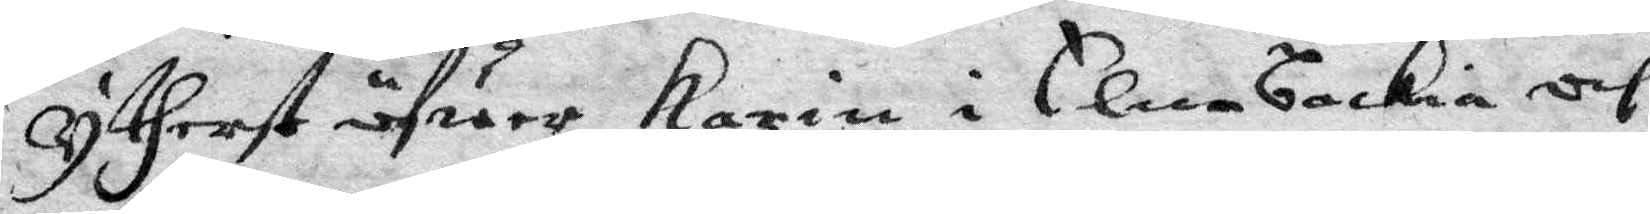Ytherst öfuer Karin i Elnebackia och
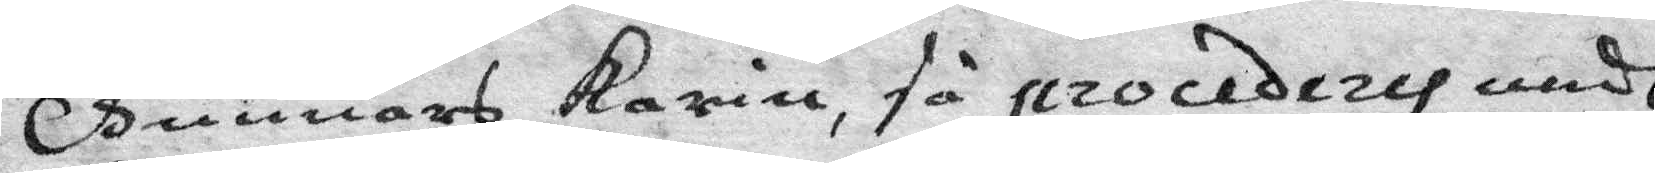Gännars Karin, få procederas medh
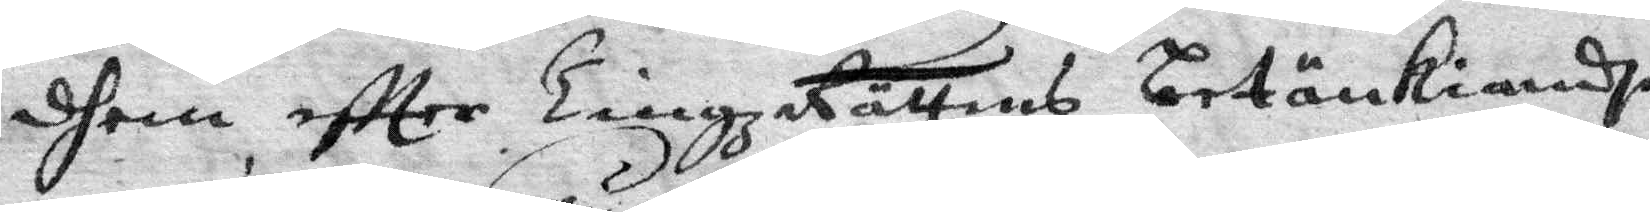dhem eftter TingzRättens betänkiandhe
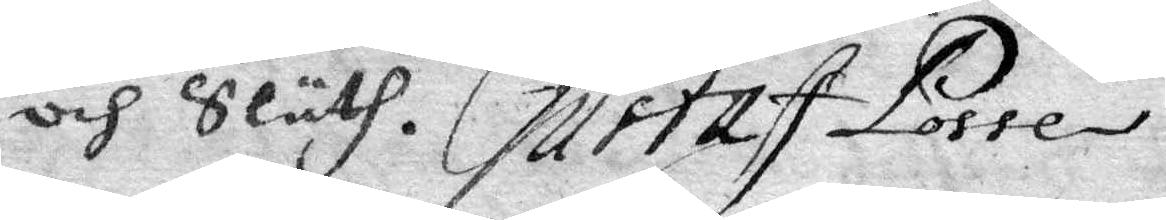och Sluth. Gustaf Posse
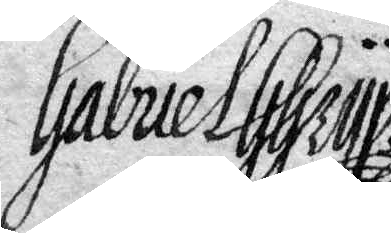Gabriel GGryp
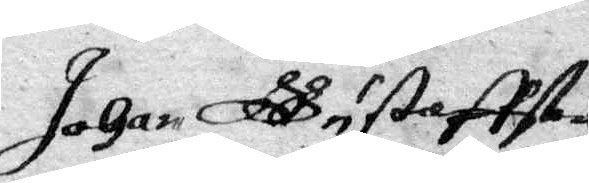Johan GGustaffson
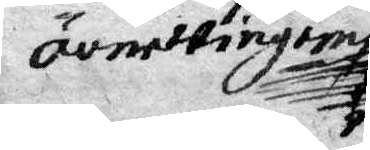Övnewingem
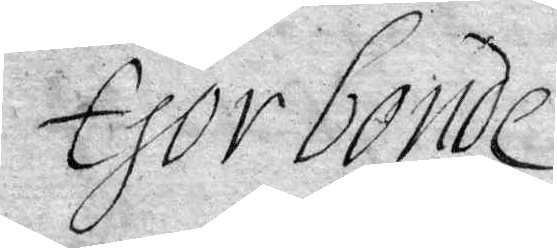Gor bonde
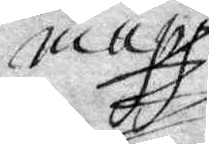nuu
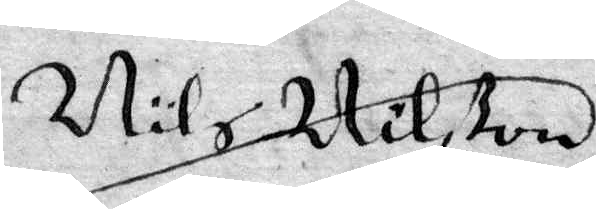Nils Nilßon
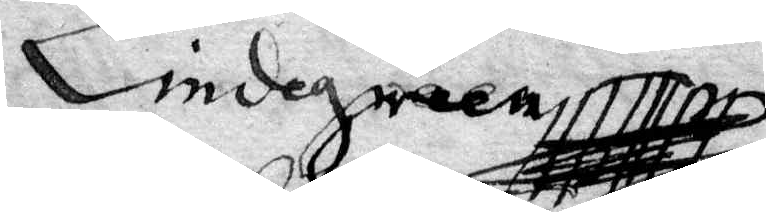Lindegreen
